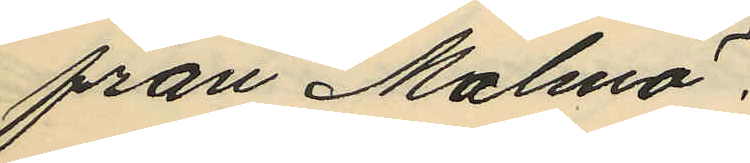från Malmö.
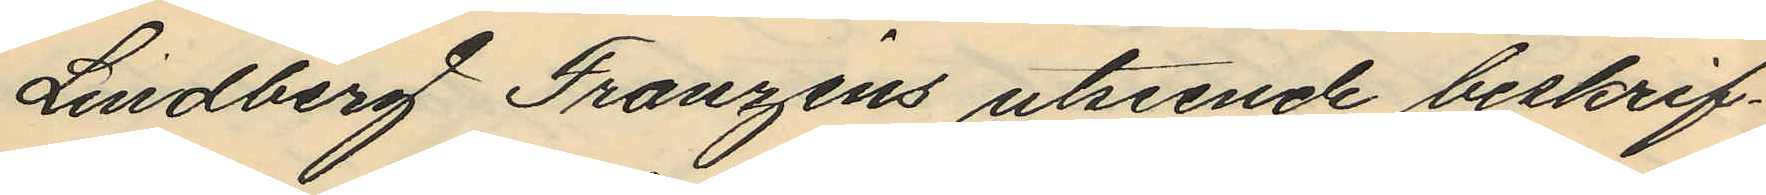Lindberg Franzéns utseende beskrif¬
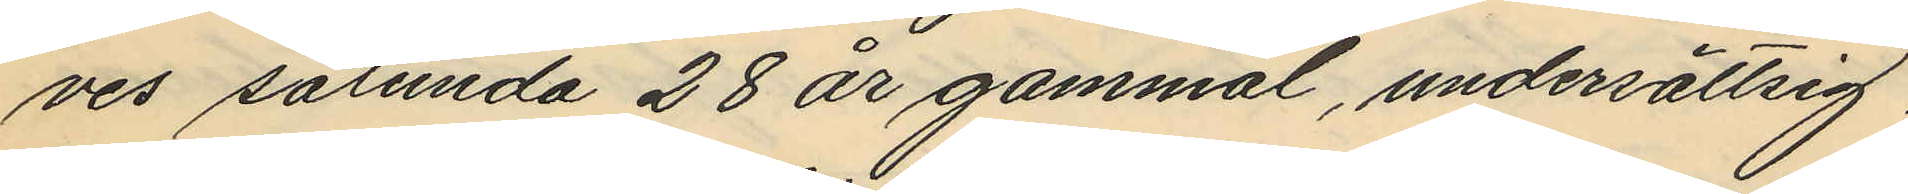ves sålunda 28 år gammal, undersättsig,
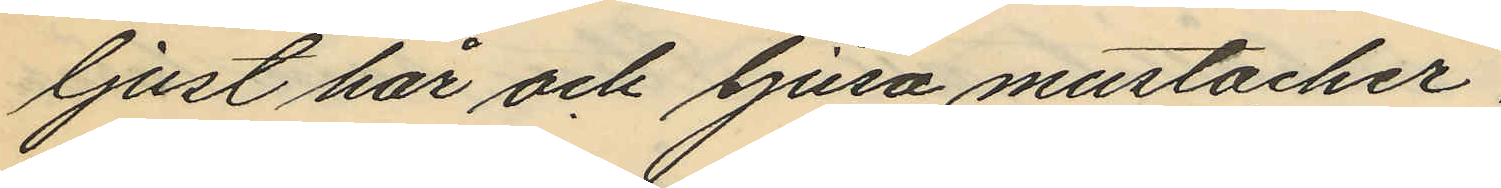ljust hår och ljusa mustacher.
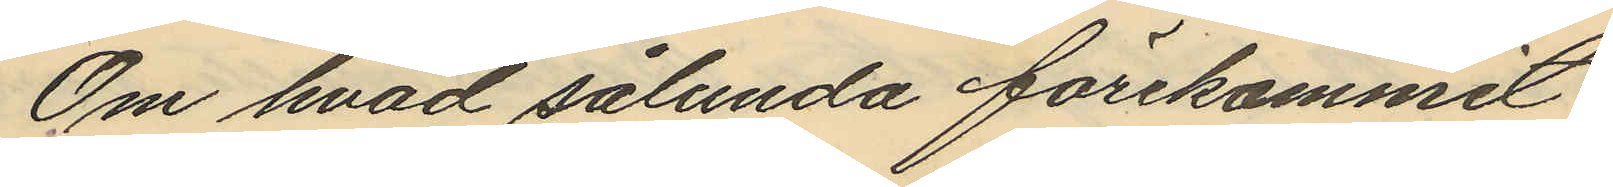Om hvad sålunda förekommit,
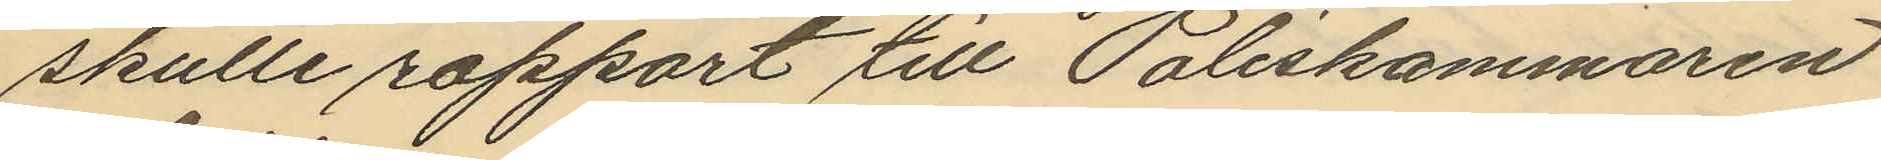skulle rapport till Poliskammaren
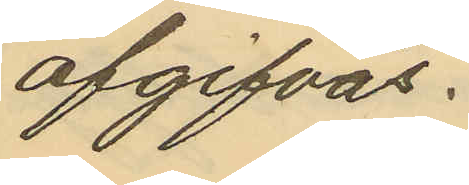afgifvas.
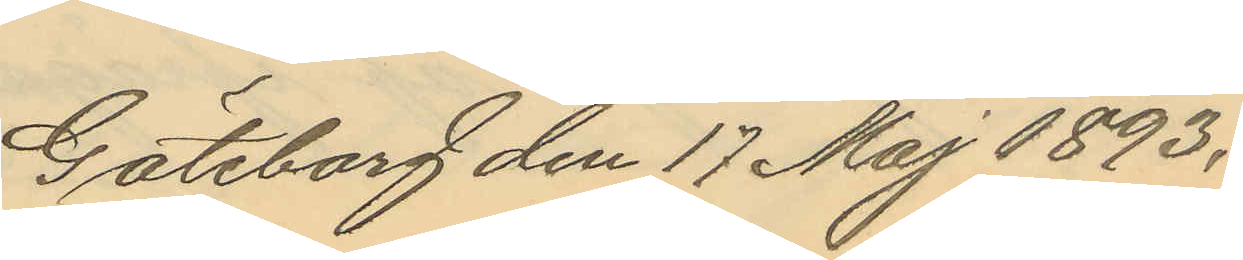Göteborg den 17 Maj 1893.
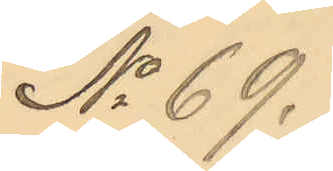No 69.
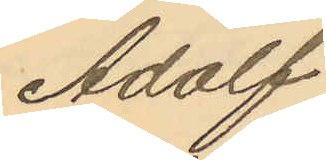Adolf
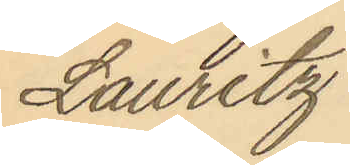Lauritz
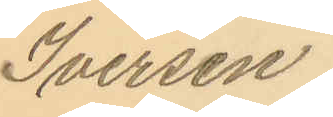Iversen.
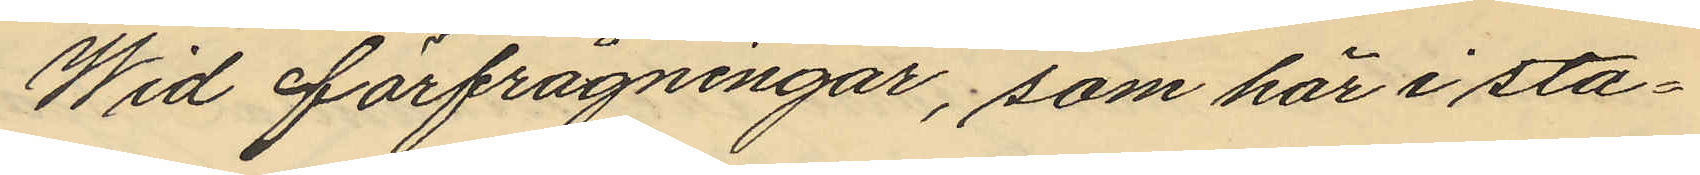Wid förfrågningar, som här i sta¬
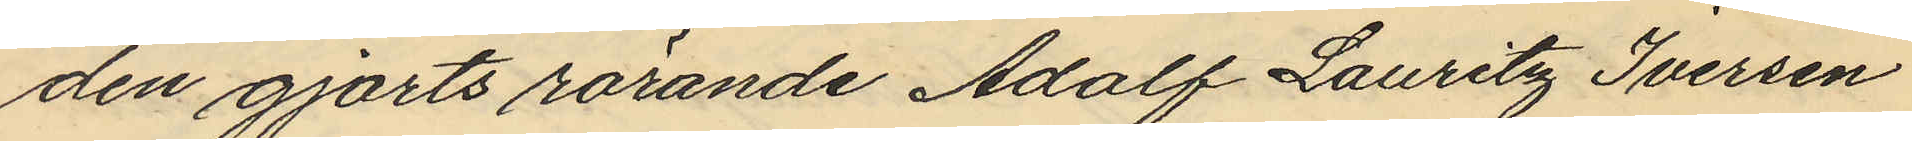den gjorts rörande Adolf Lauritz Iversen
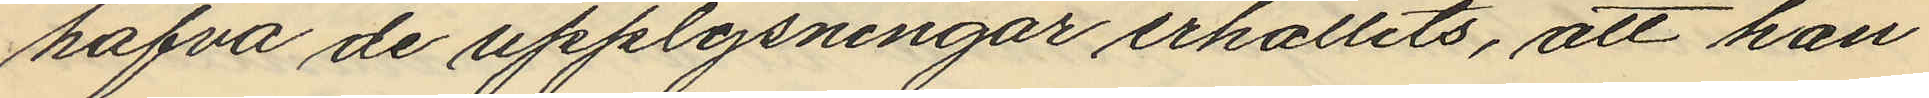hafva de upplysningar erhållits, att han
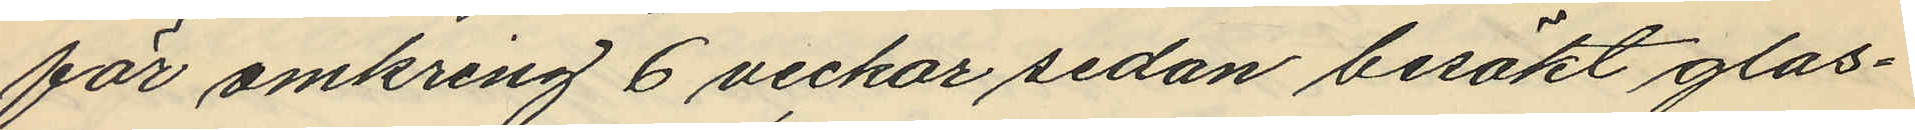för omkring 6 veckor sedan besökt glas¬
